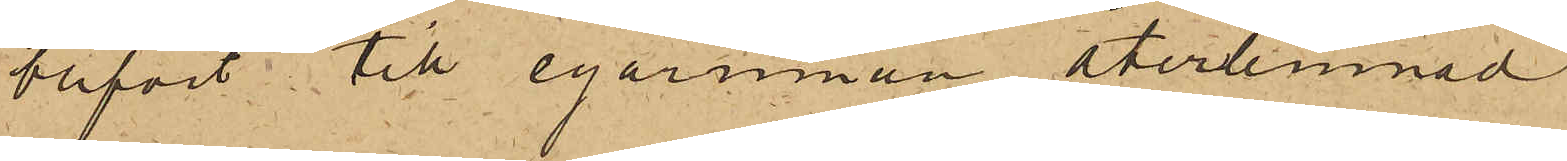blifvit till egarinnan återlemnad
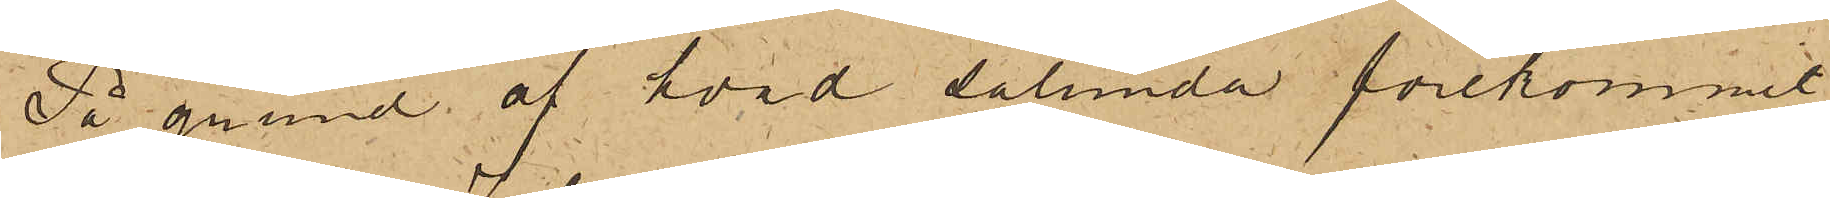På grund af hvad sålunda förekommit,
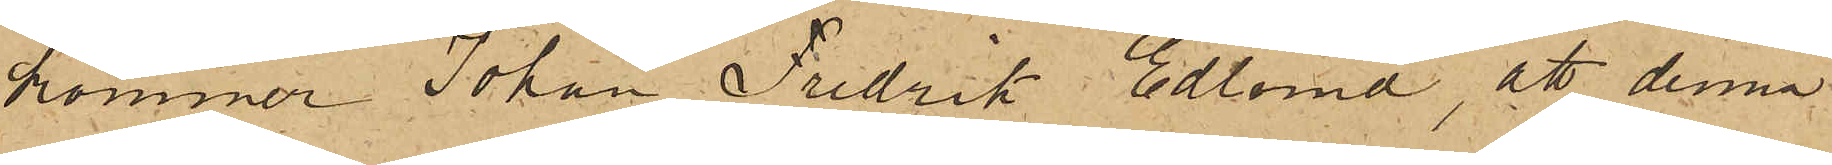kommer Johan Fredrik Edlund, att denna
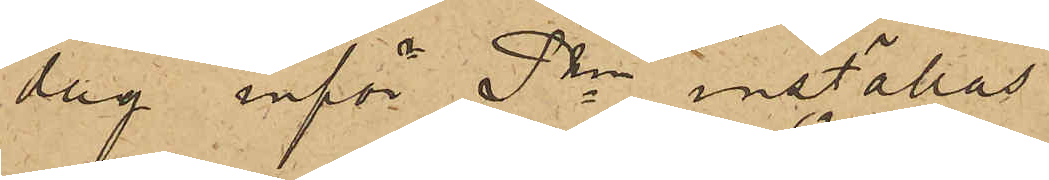dag inför Pkn inställas.
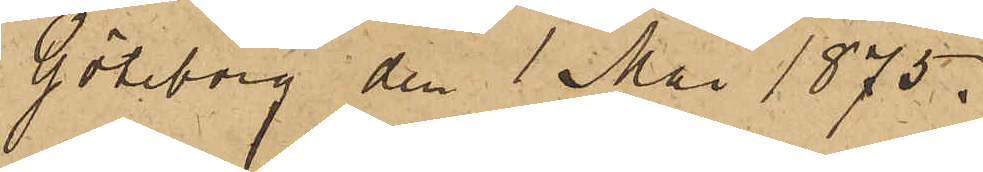Göteborg den 1 Mai 1875.
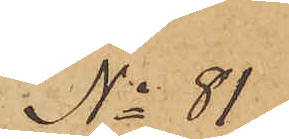No 81
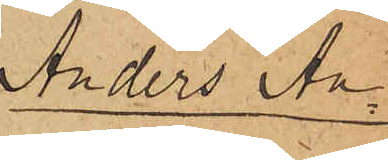Anders An¬
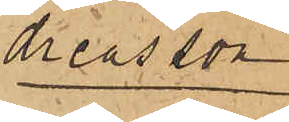dreasson
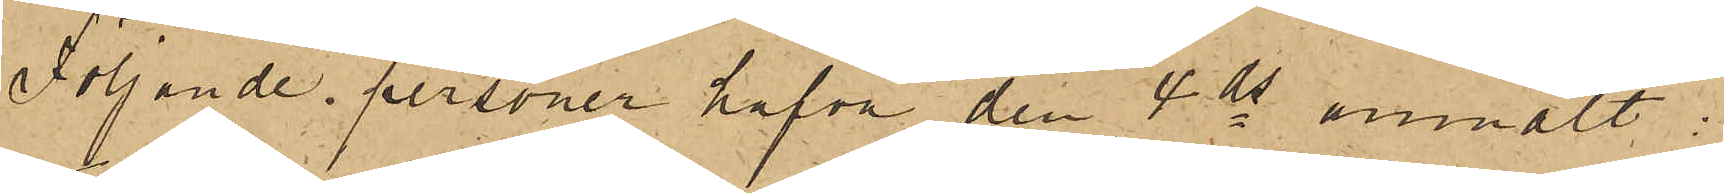Följande personer hafva den 4 ds anmält:
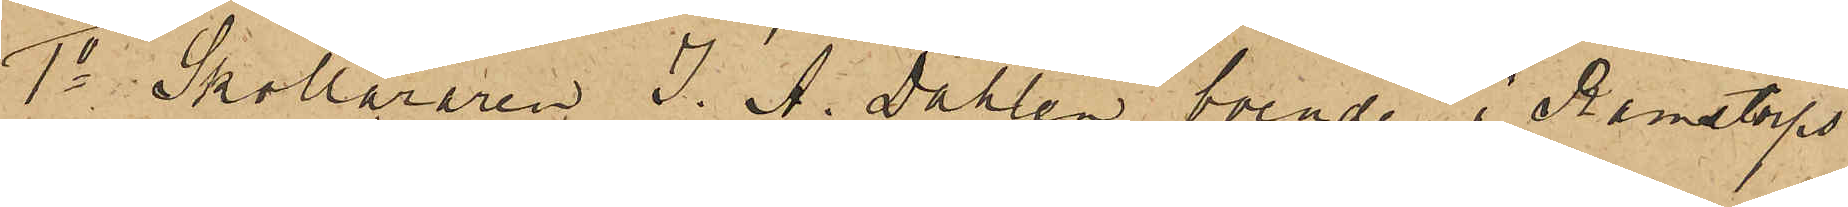1o Skolläraren J. A. Dahlin, boende i Ramstorps
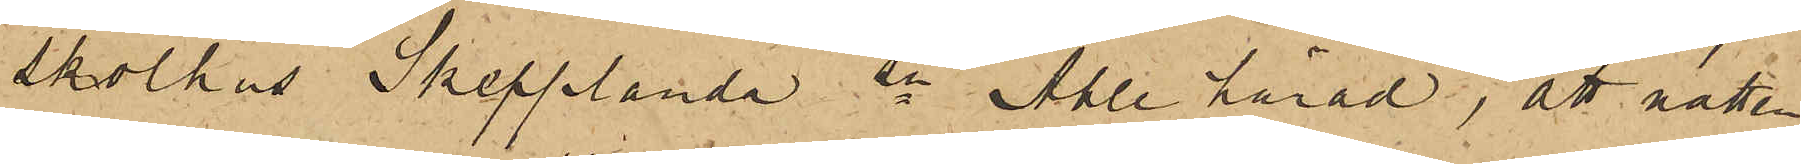skolhus Skepplanda sn Ahle härad, att natten
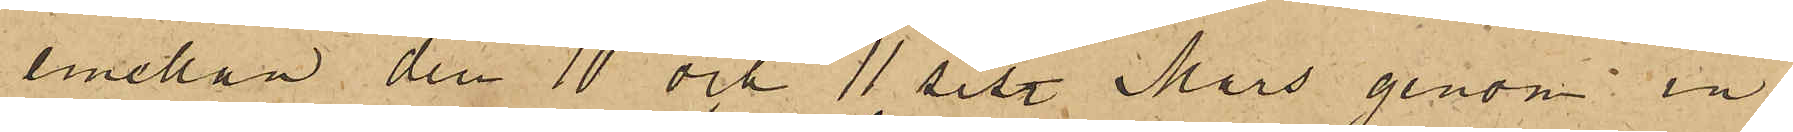emellan den 10 och 11 sist. Mars genom in¬
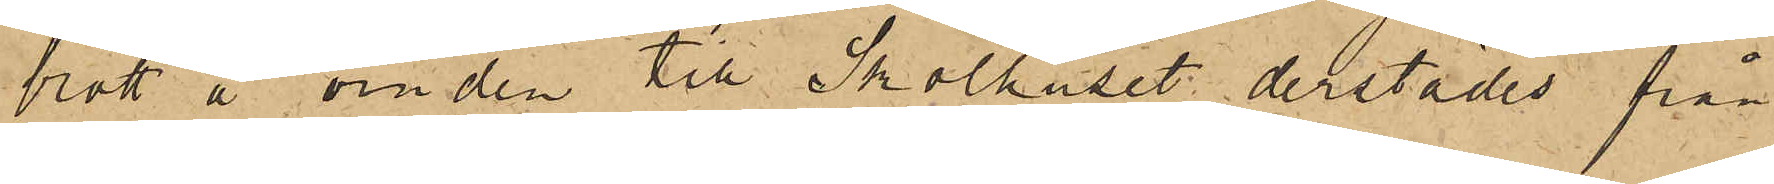brott å vinden till Skolhuset derstädes från
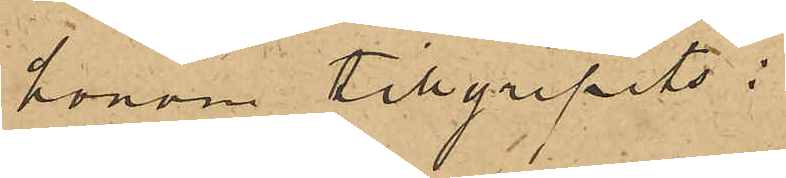honom tillgripits:
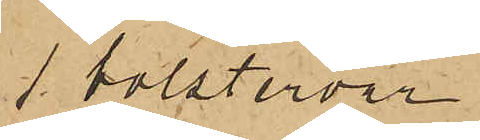1 bolstervar
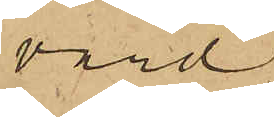värd
